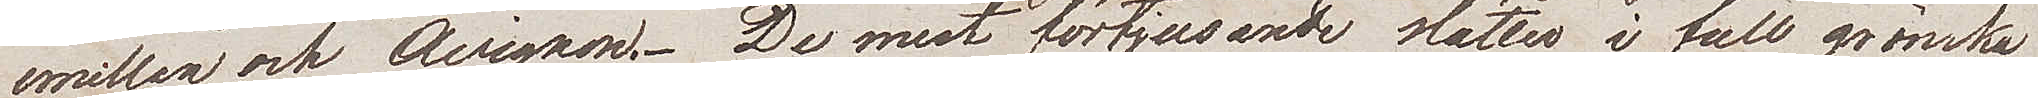emellan och Avignon. De mest förtjusande slätter i full grönska
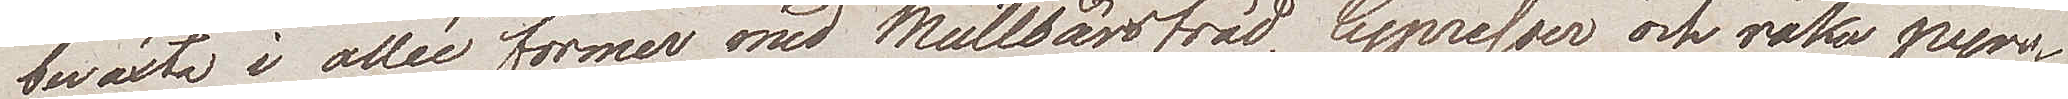bewäxta i allée former med Mullbärsträd, Cypresser och raka pyr¬
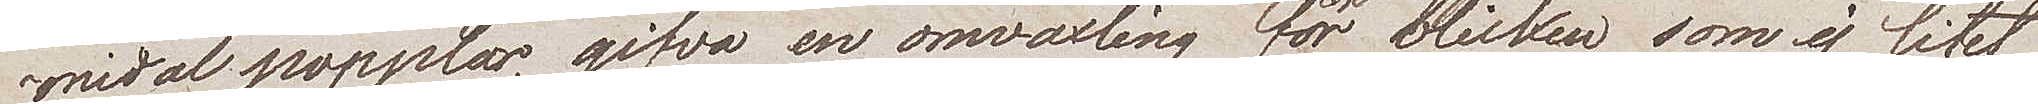amidalpopplar, giva en omväxling för blicken som ej litet
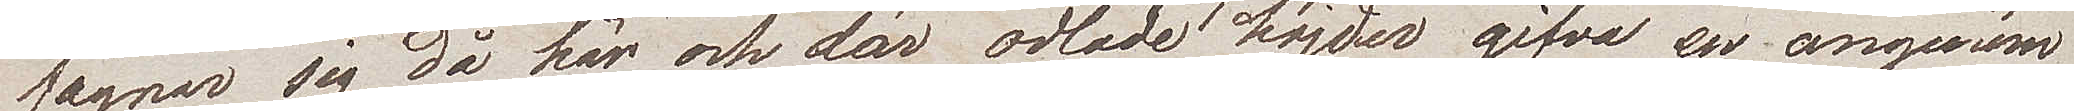fägnar sig då här och där odlade höjder gifva en angenäm
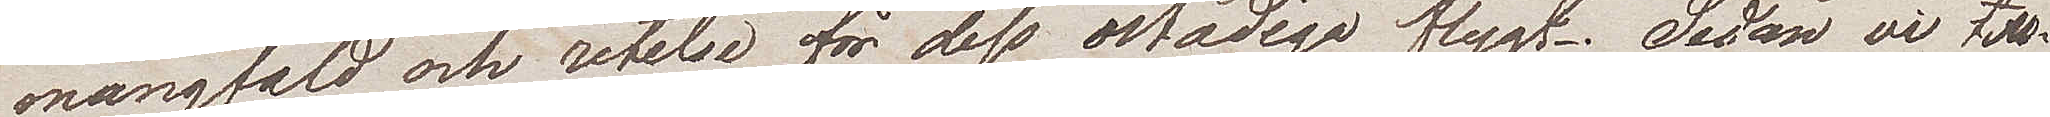mångfald och retelse för dess ostadiga flygt. Sedan vi till¬
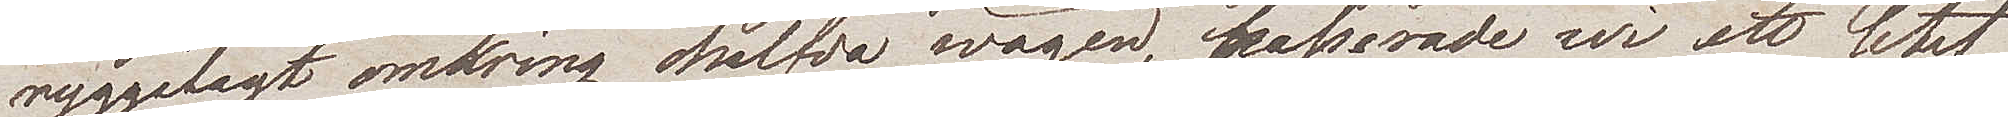ryggalagt omkring halfva wägen, passerade vi ett litet
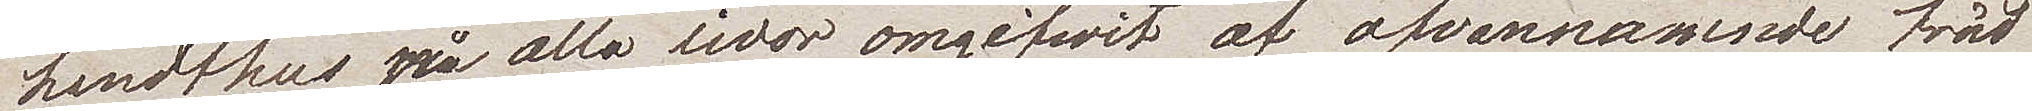landthus på alla sidor omgifvit av ofvannämnda träd¬
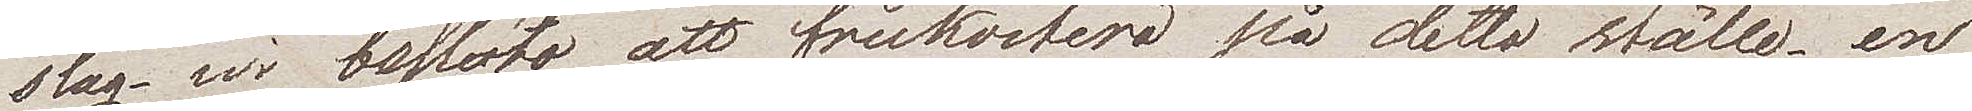slag – vi beslöto att frukostera på detta ställe. en
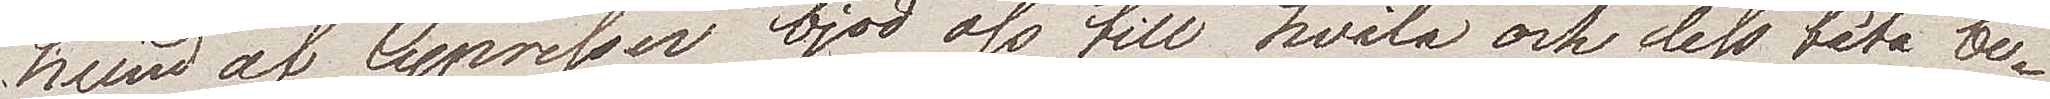lund av Cypresser bjöd oss till hvila och dess täta be¬
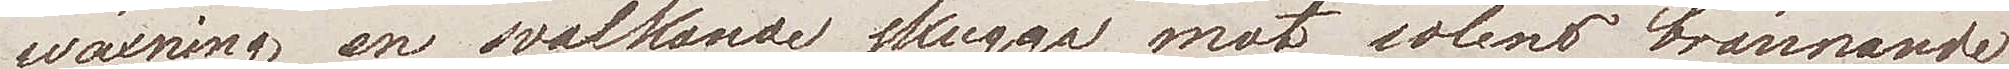wäxning en svalkande skugga mot solens brännande
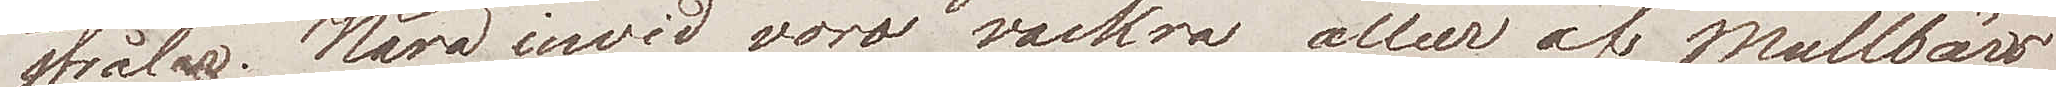strålar. Nära invid voro vackra alléer av Mullbär
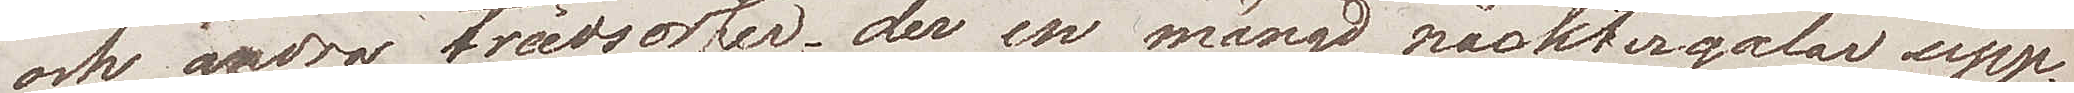och andra trädsorter, der en mängd näktergalar upp¬
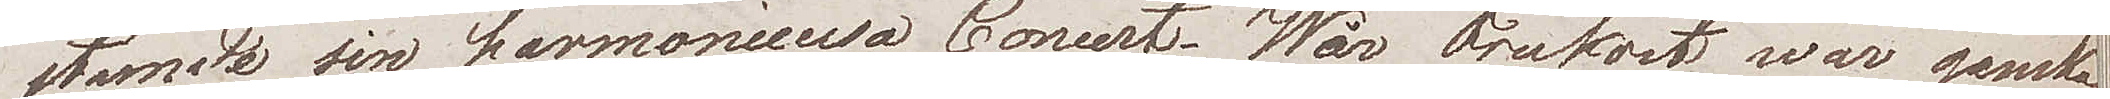stämde sin harmoniella Concert. Wår frukost var ganska
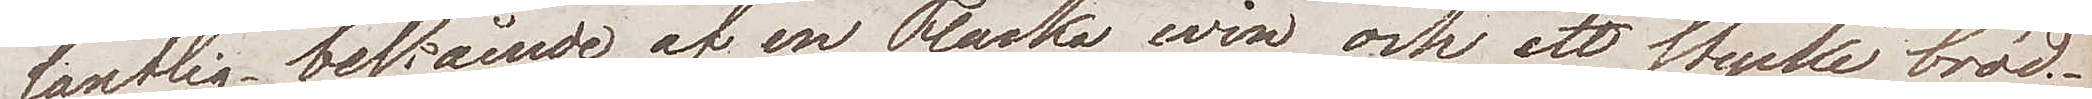lantlig bestående av en Flaska win och ett stycke bröd.
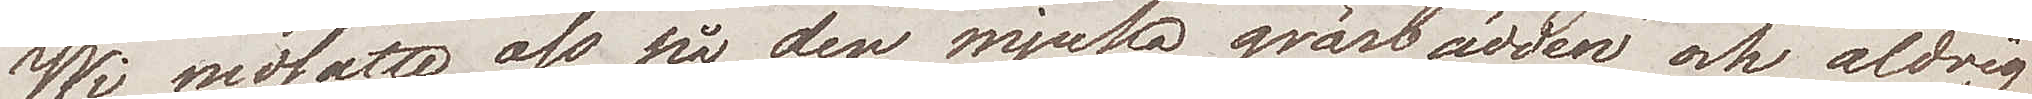Wi nedsatte oss på den mjuka gräsbädden och aldrig
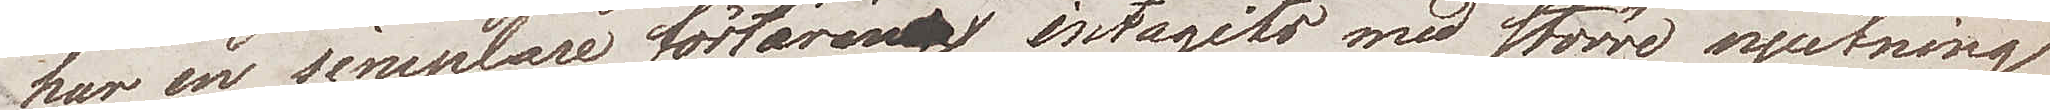har en simplare förtäring intagits med större njutning
